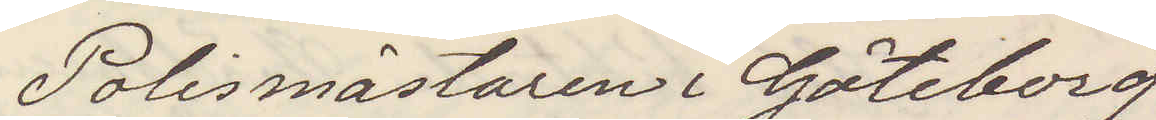Polismästaren i Göteborg
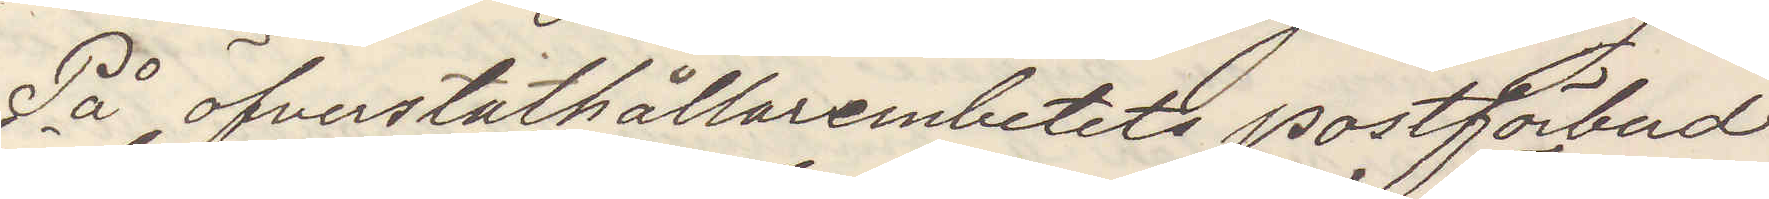På öfverståthållarembetets postförbud
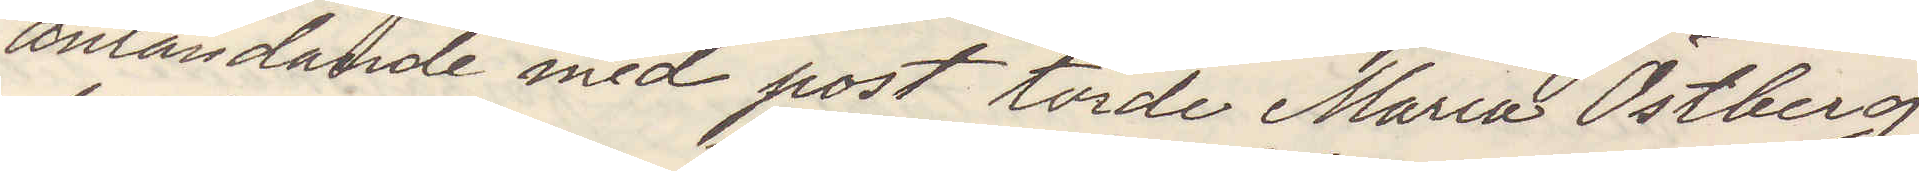anländande med post torde Maria Östberg
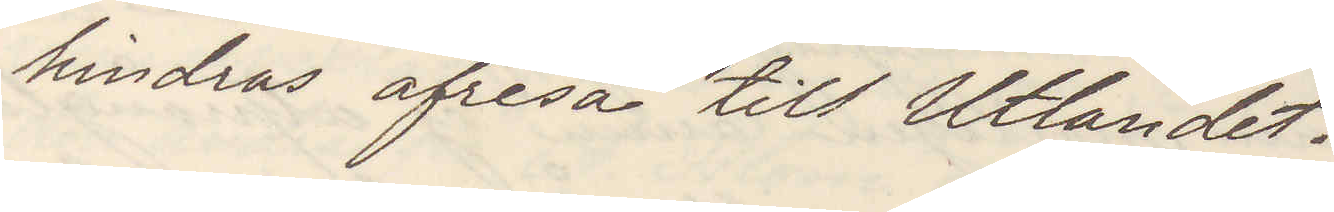hindras afresa till Utlandet.
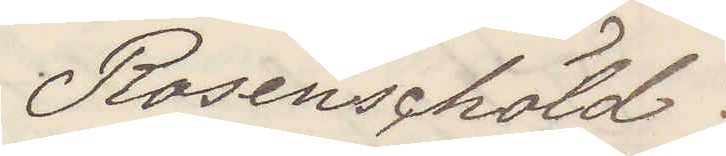Rosenschöld.
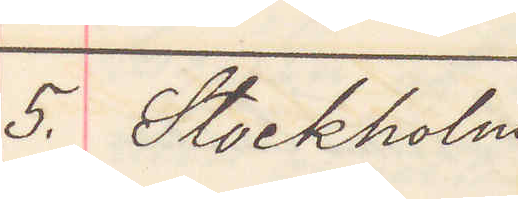5. Stockholm
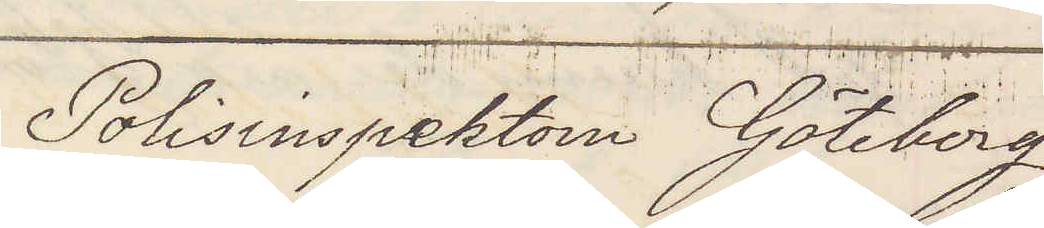Polisinspektorn Göteborg
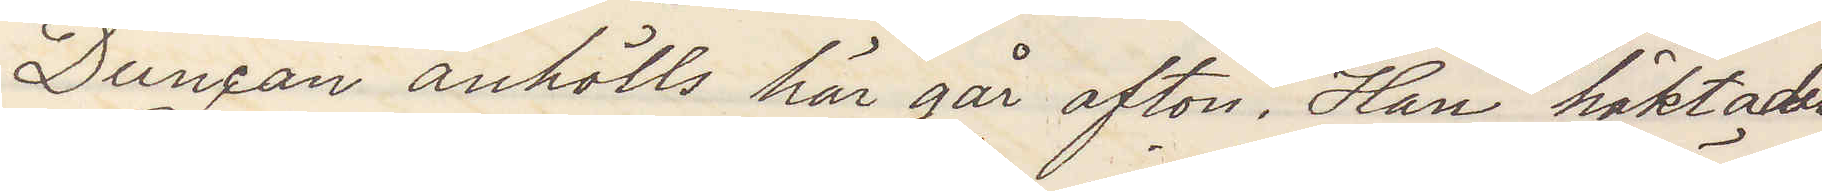Duncan anhölls här går afton. Han häktades
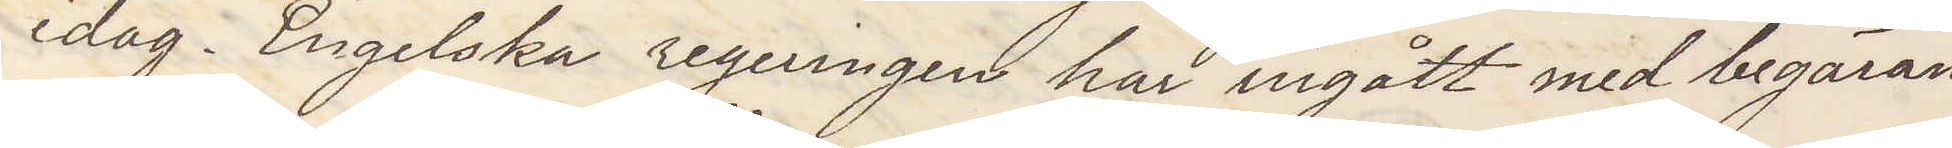idag. Engelska regeringen har ingått med begäran
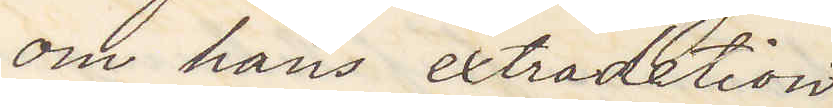om hans extradetion.
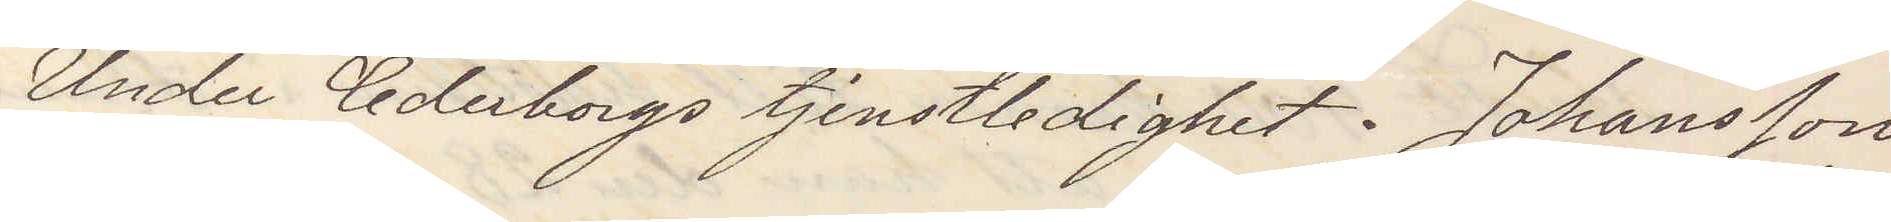Under Cederborgs tjenstledighet. Johansson
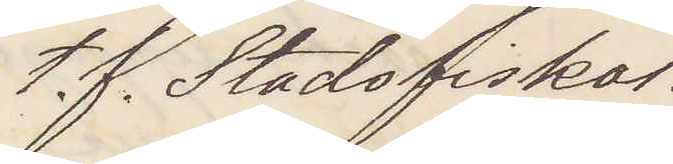t. f. Stadsfiskal.
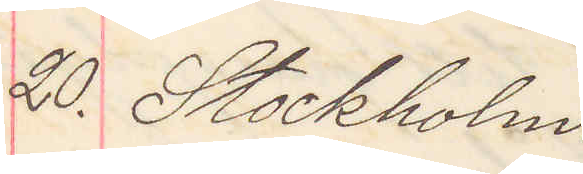20. Stockholm.
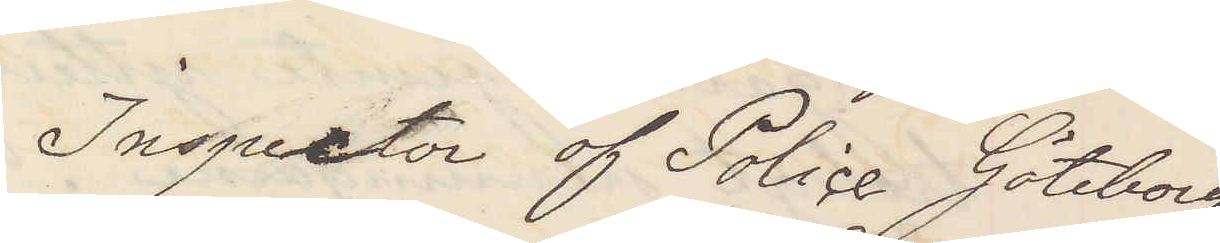Inspector of Police Göteborg
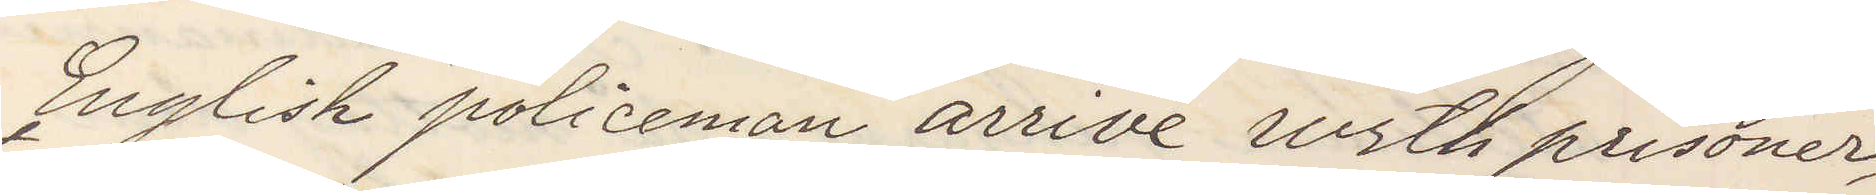English policeman arrive with prisoner
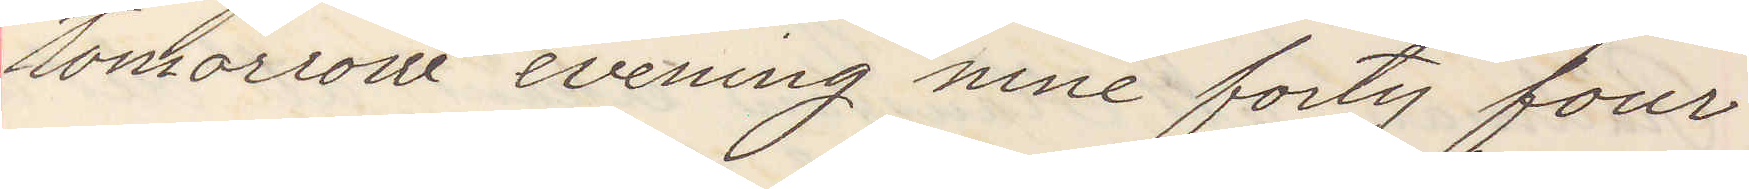tomorrow evening nine forty four
